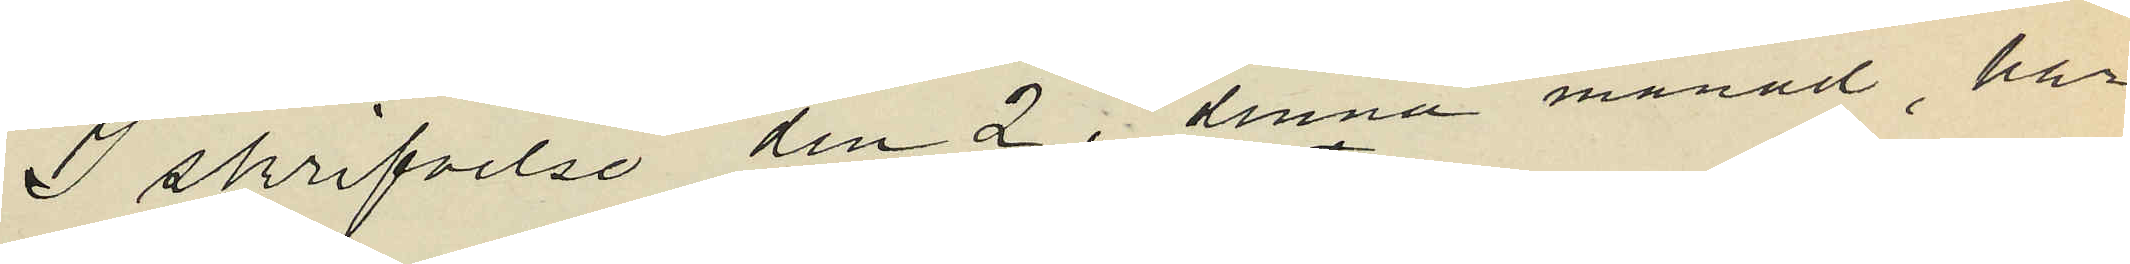I skrifvelse den 2 i denna månad, har
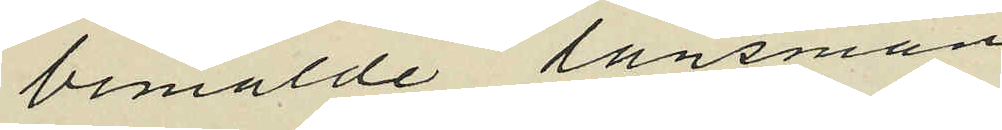bemälde länsman
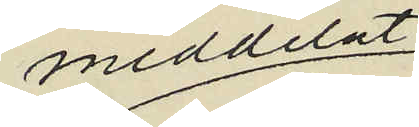meddelat;
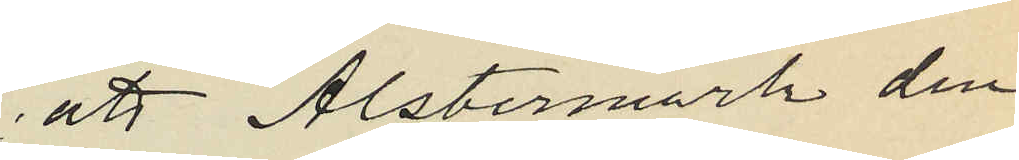att Alstermark den
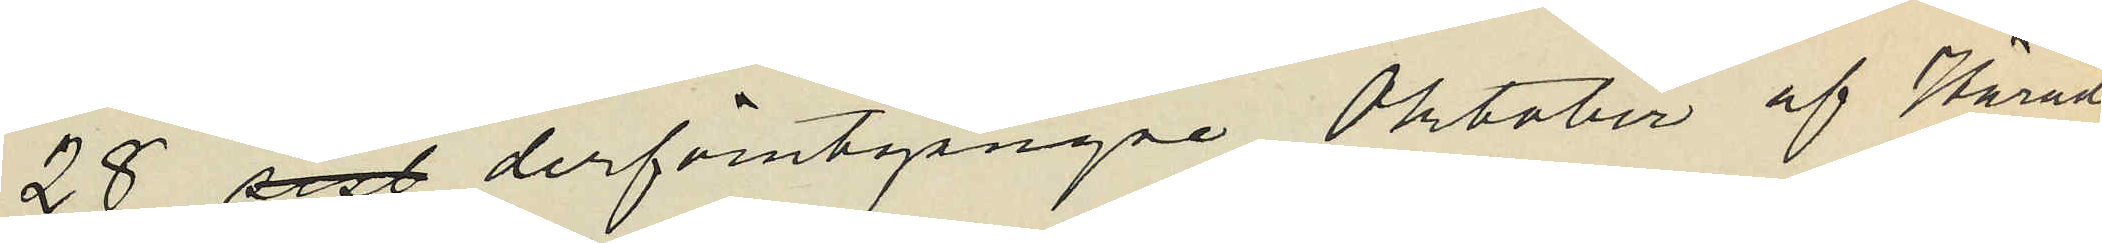28 sisl derförutgångne Oktober af Härads
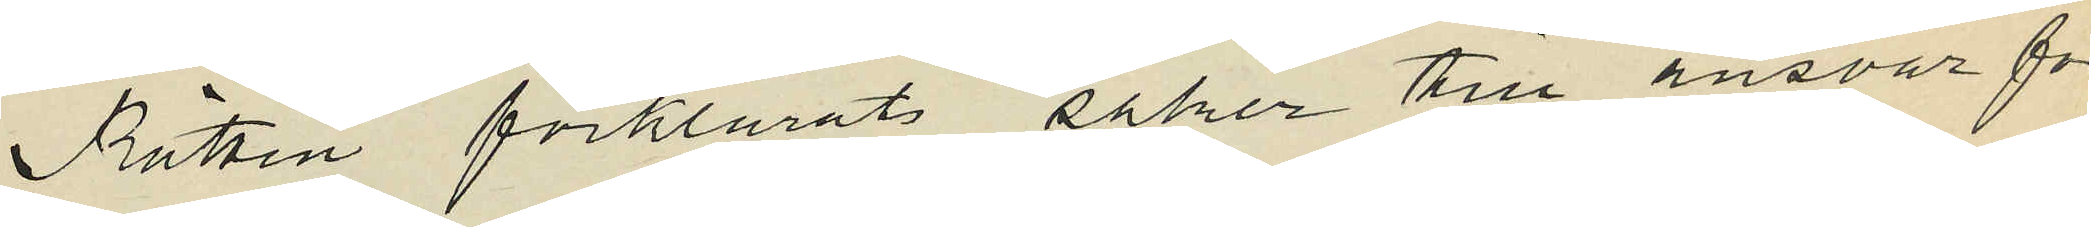Rätten förklarats saker till ansvar för
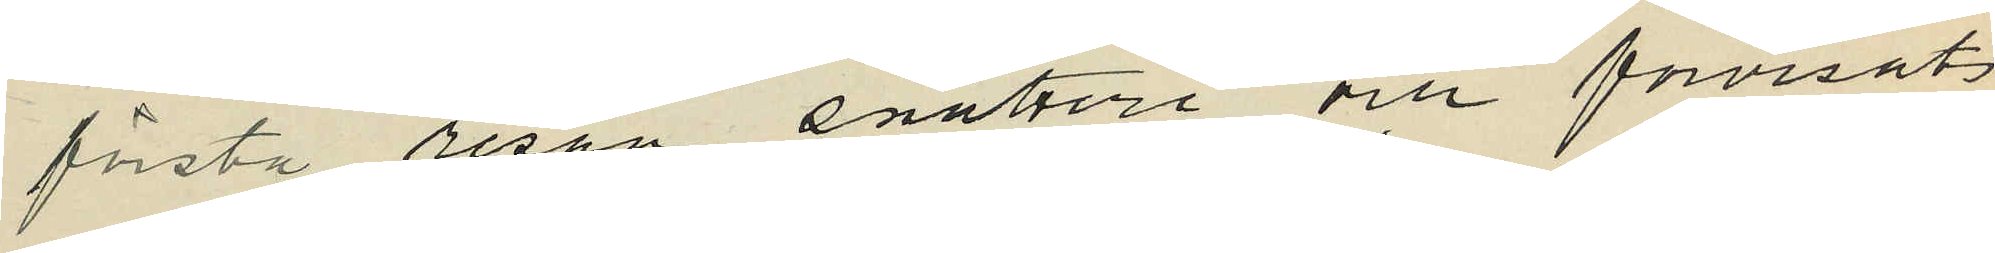första resan snatteri och förvisats
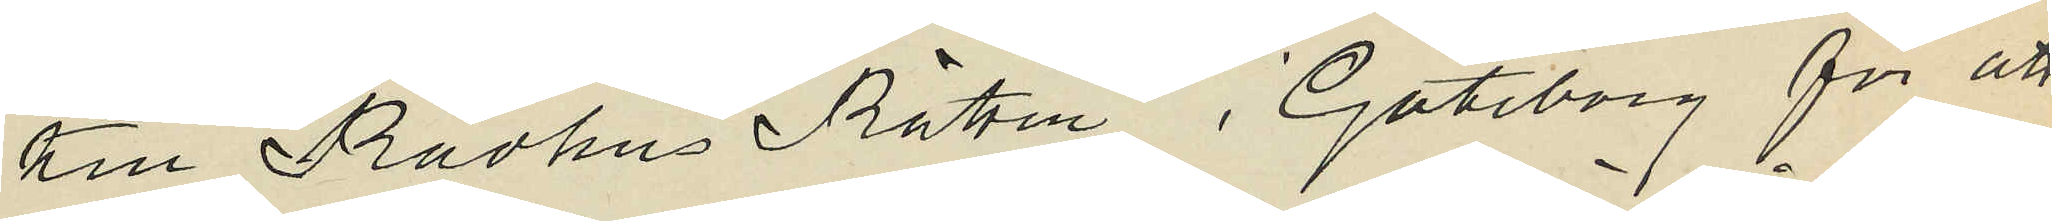till Rådhus Rätten i Göteborg för att
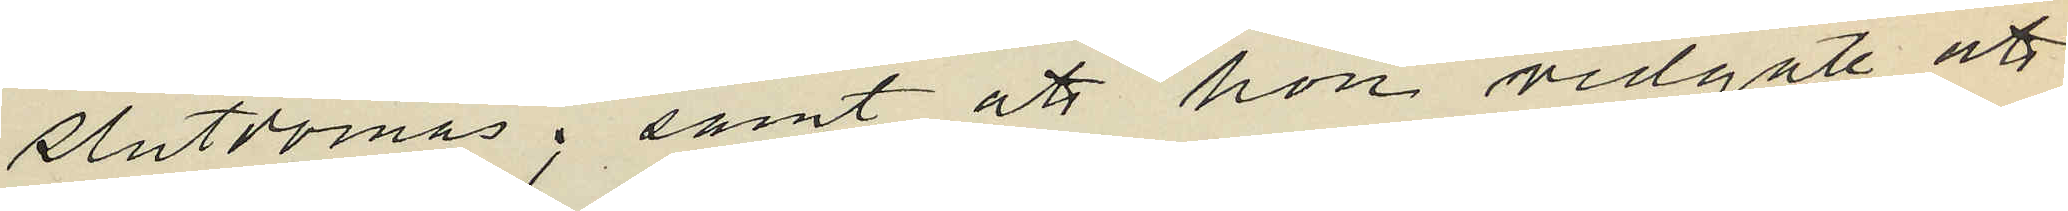slutdömas; samt att hon vidgått att
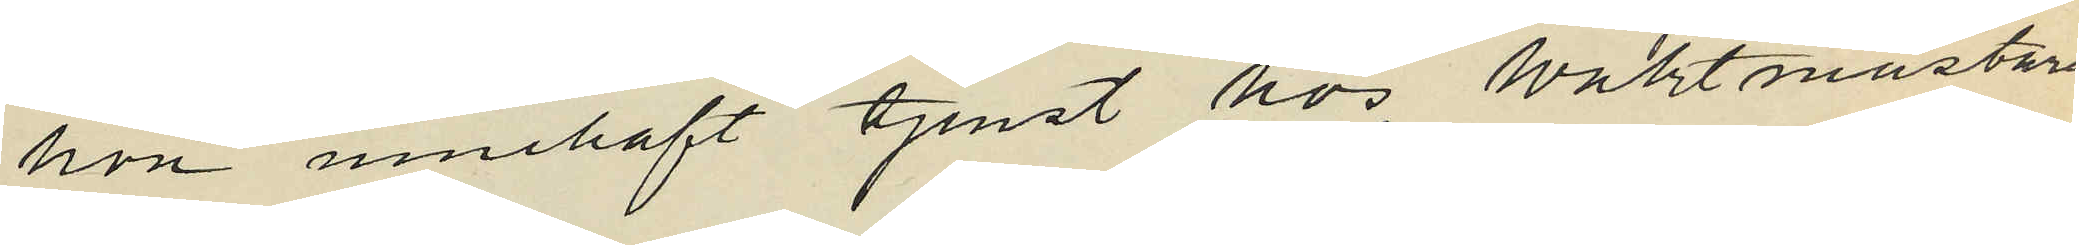hon innehaft tjenst hos Waktmästaren
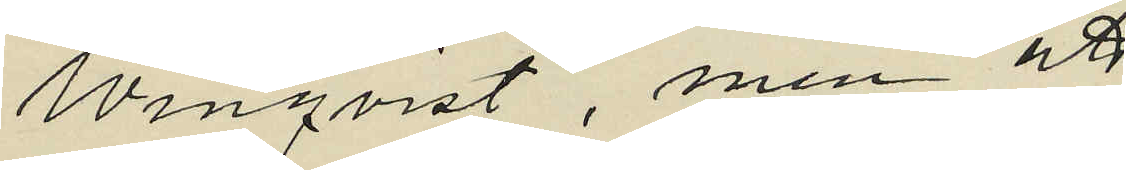Winqvist, men att
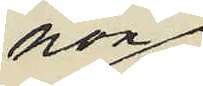hon
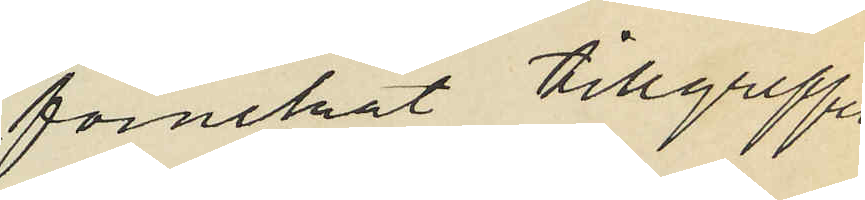förnekat tillgreppet
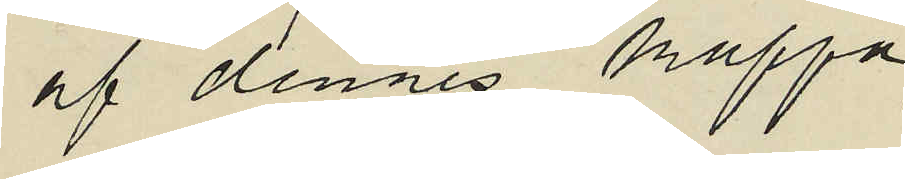af dennes kappa.
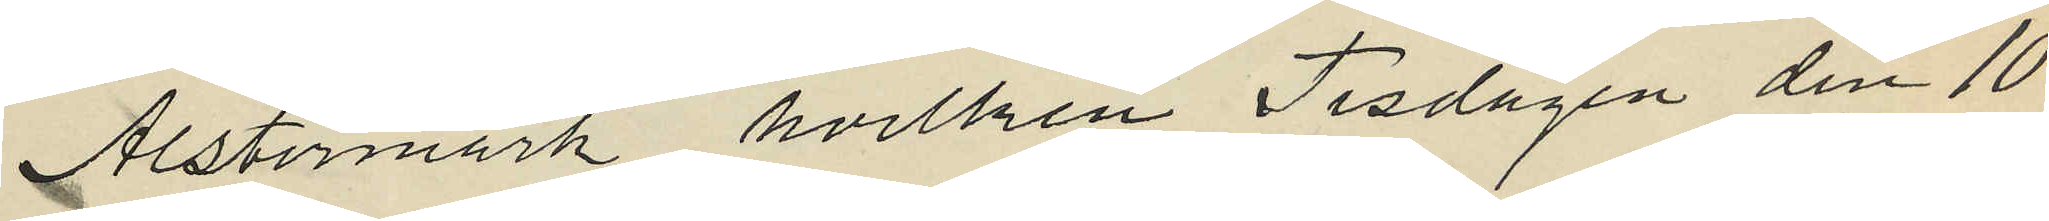Alstermark, hvilken Tisdagen den 10
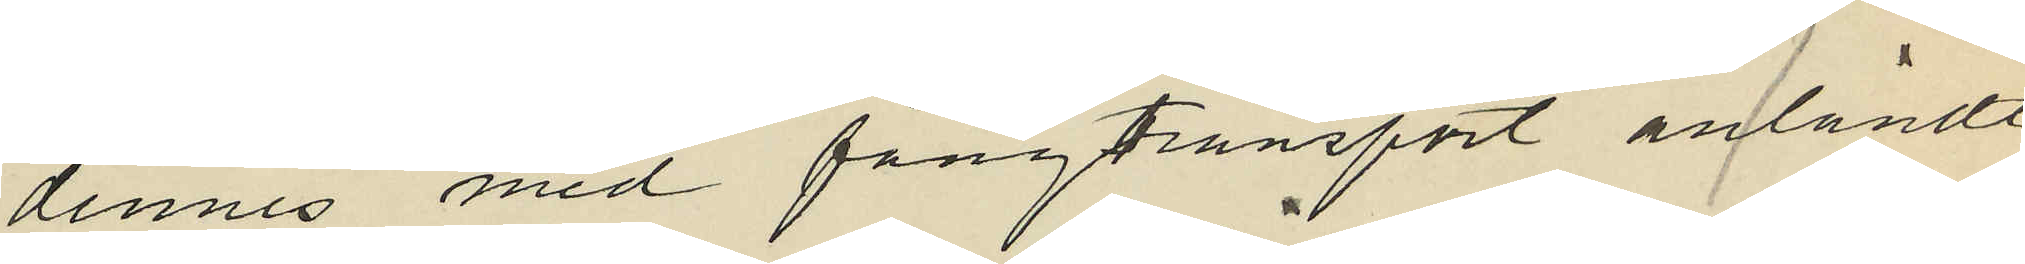dennes med fångtransport anländt
